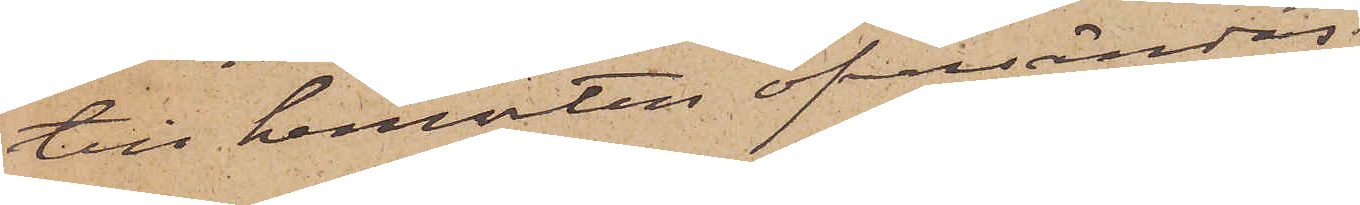till hemorten öfversändas
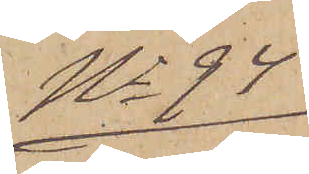No 94
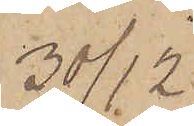30/12.
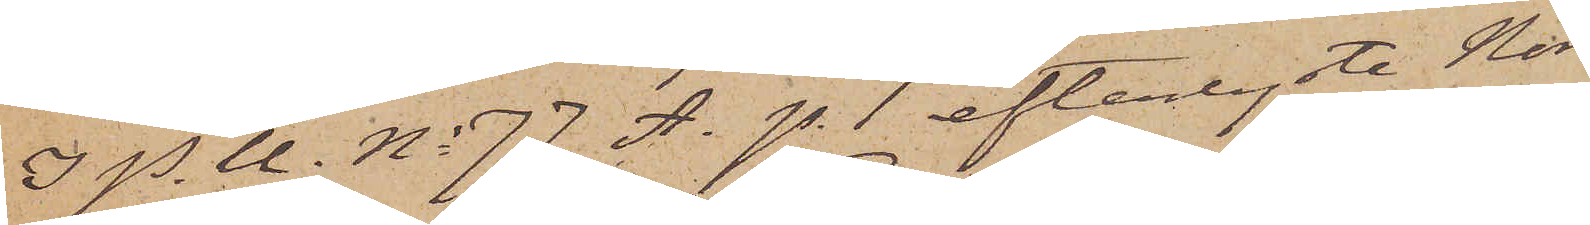I P. U. No 77 A. p. 1 efterlyste Nor¬
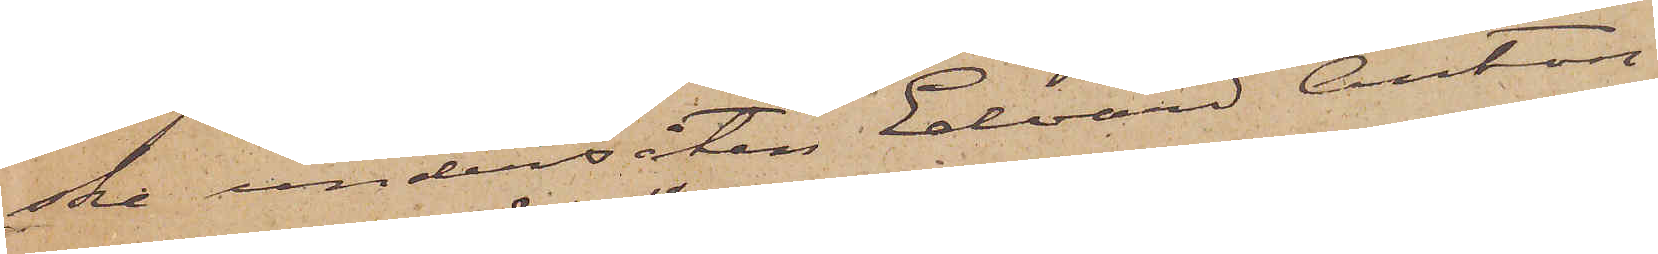ske undersåten Edvard Anton
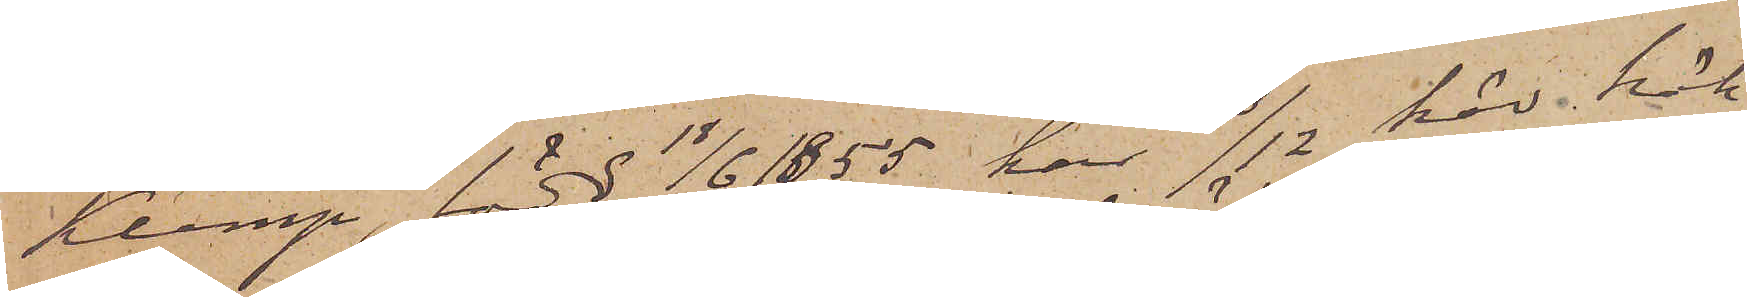Klemp, född 18/6 1855 har 23/12 här häk¬
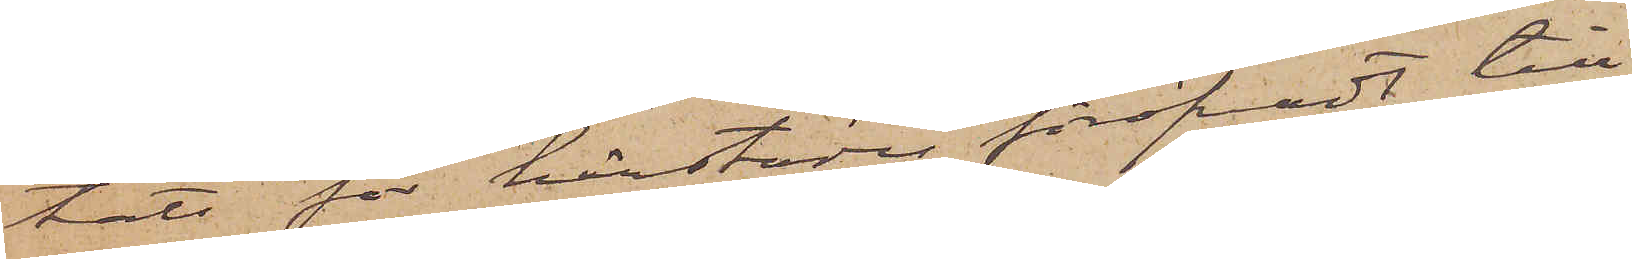tars för härstädes föröfvadt till¬
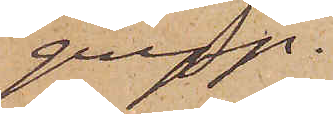grepp.
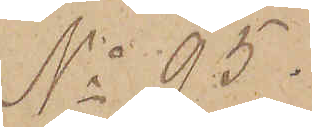No 95.
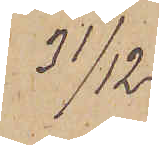31/12.
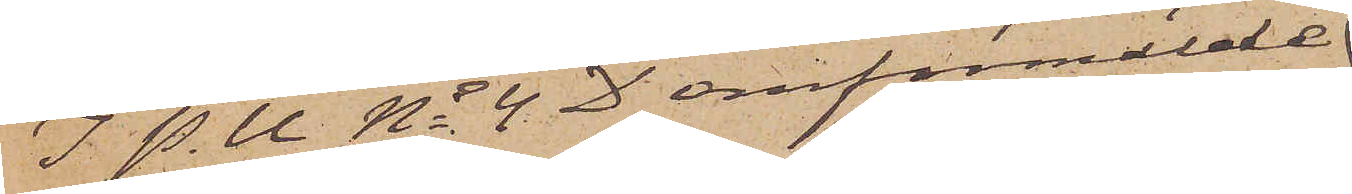I P. U. No 4 D omförmälde
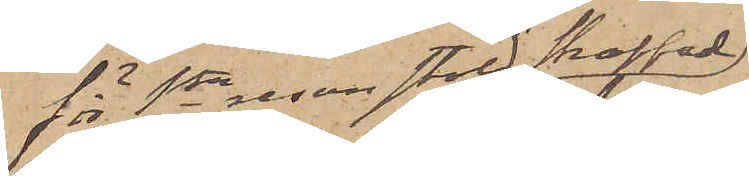för 1sta resan stöld straffade
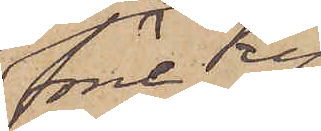förre Ky¬
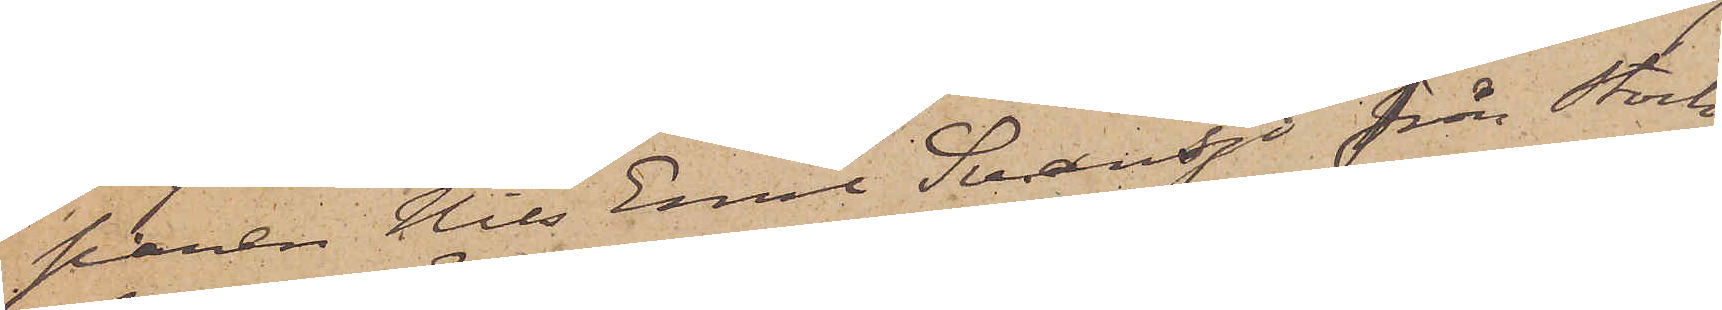paren Nils Emil Svansjö från Stock¬
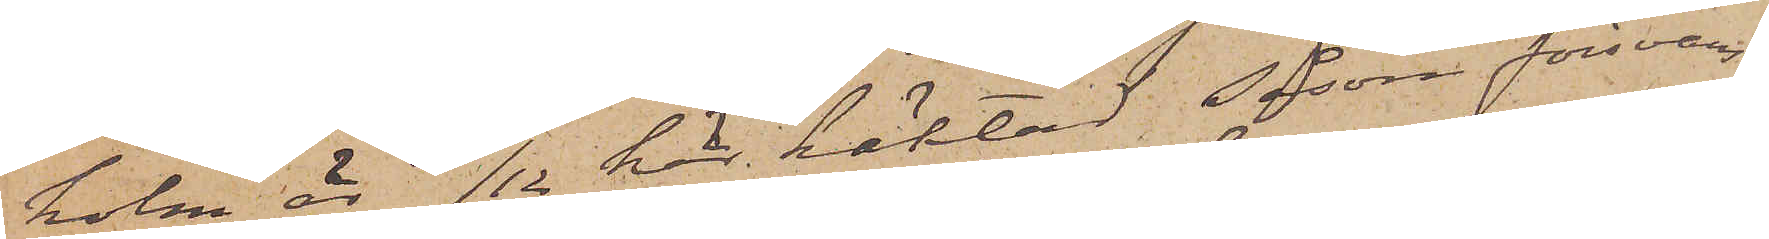holm är 31/12 här häktad såsom försvars¬
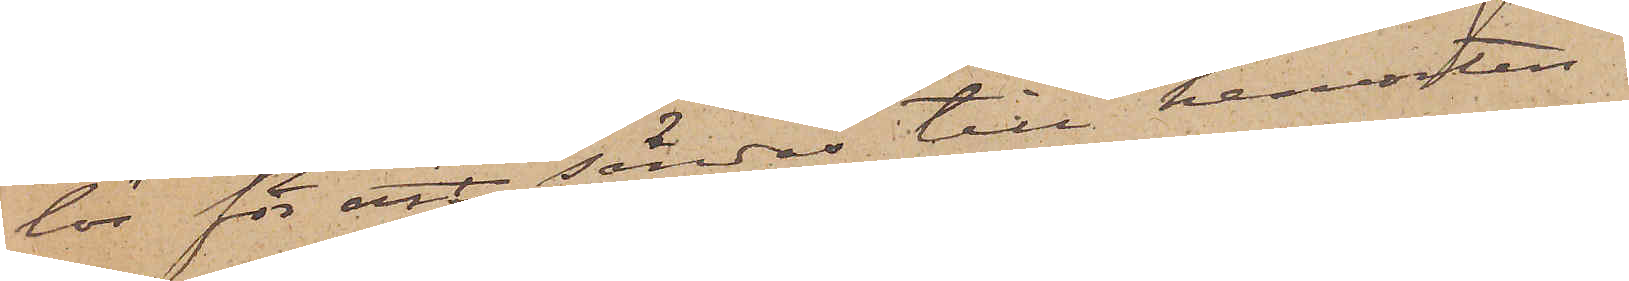lös för att sändas till hemorten.
